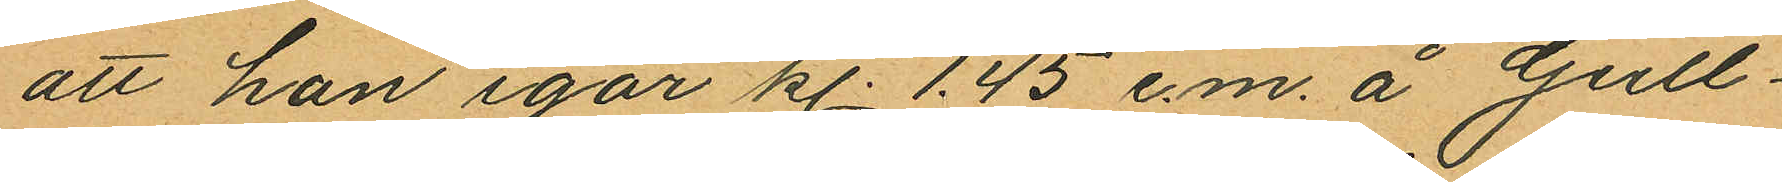att han igår kl. 1.45 e.m. å Gull¬
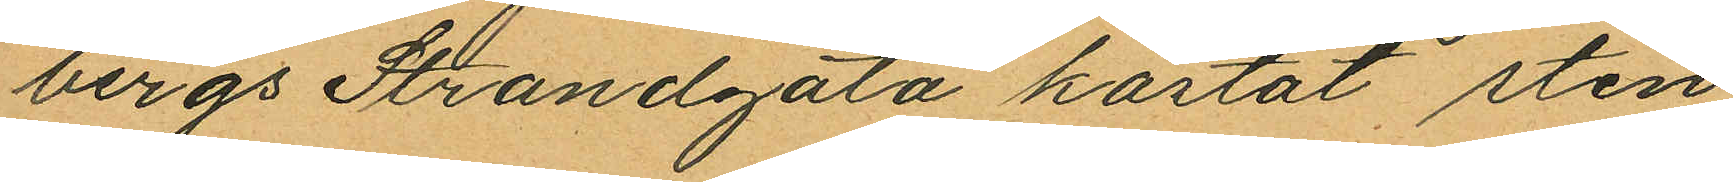bergs Strandgata kastat sten
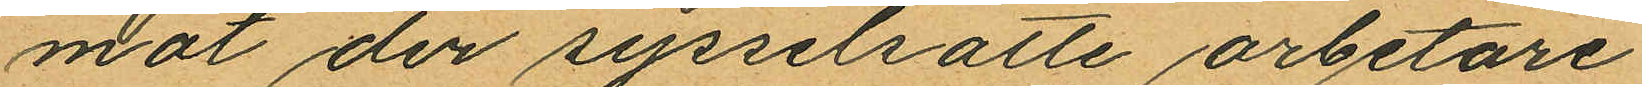mot der sysselsatte arbetare.
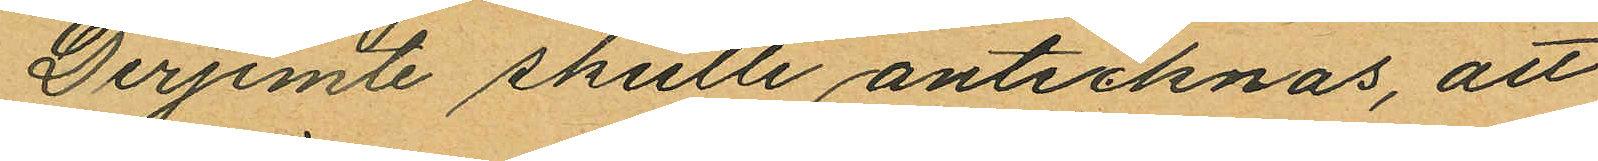Derjemte skulle antecknas, att
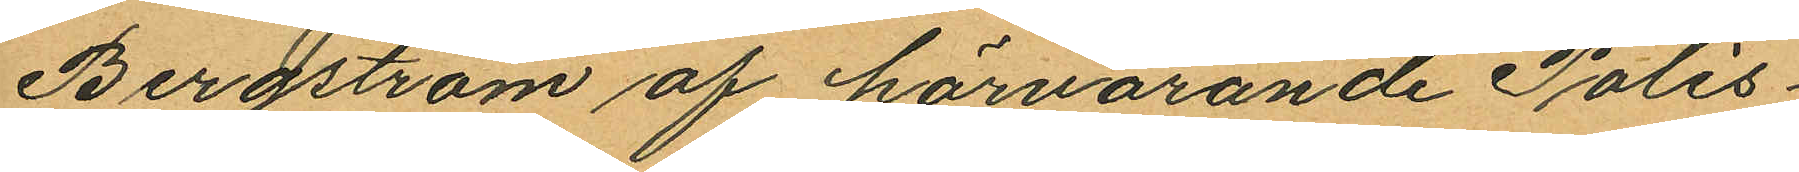Bergström af härvarande Polis¬
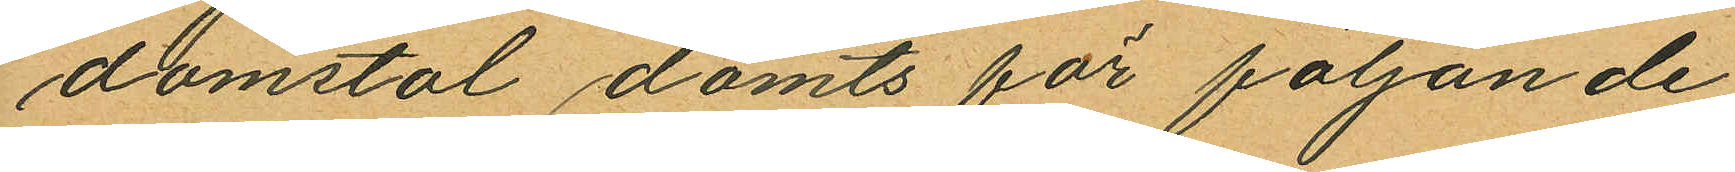domstol dömts för följande
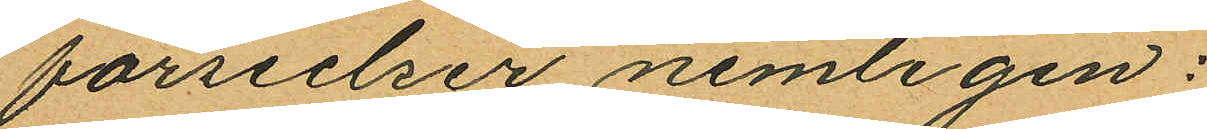förseelser nemligen:
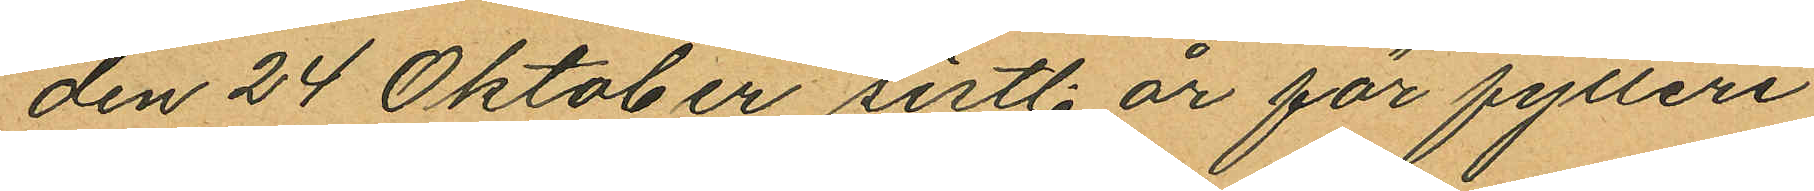den 24 Oktober sistl. år för fylleri
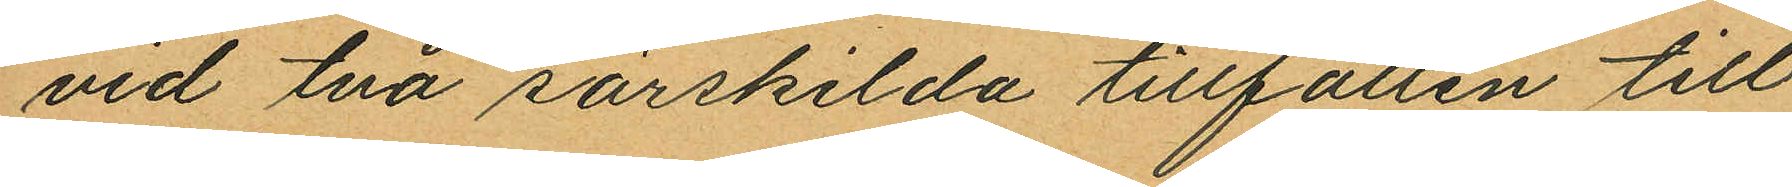vid två särskilda tillfällen till
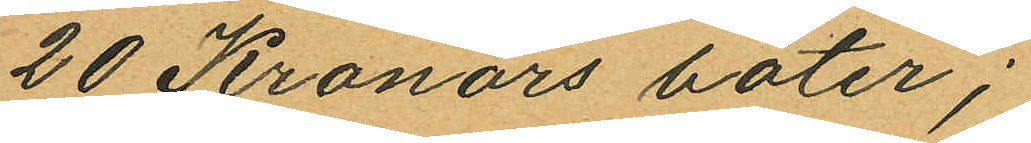20 Kronors böter;
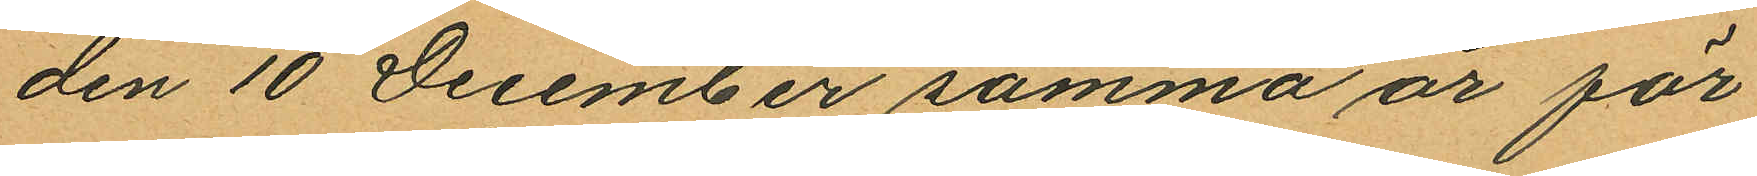den 10 December samma år för
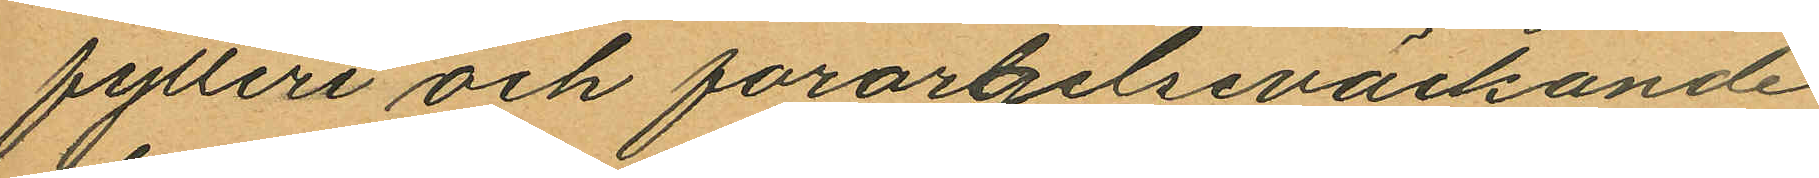fytleri och forargelseväckande
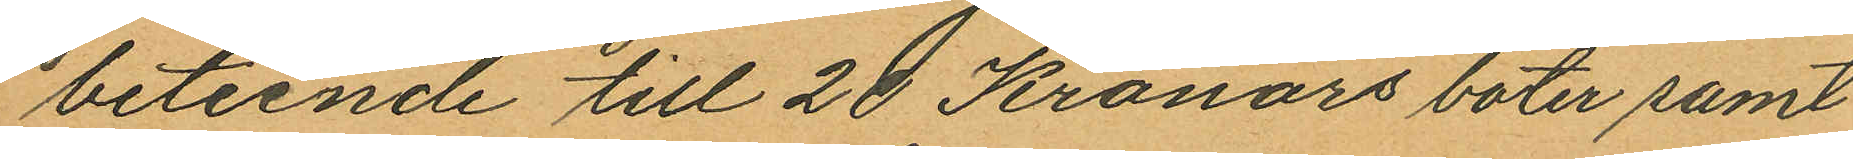beteende till 20 Kronors böter samt
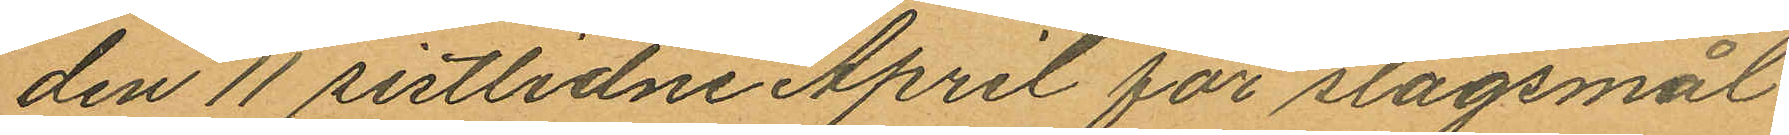den 11 sistlidne April för slagsmål
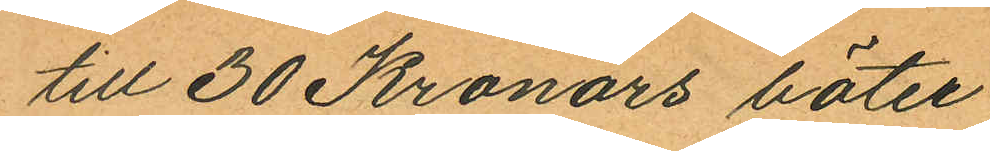till 30 Kronors böter.
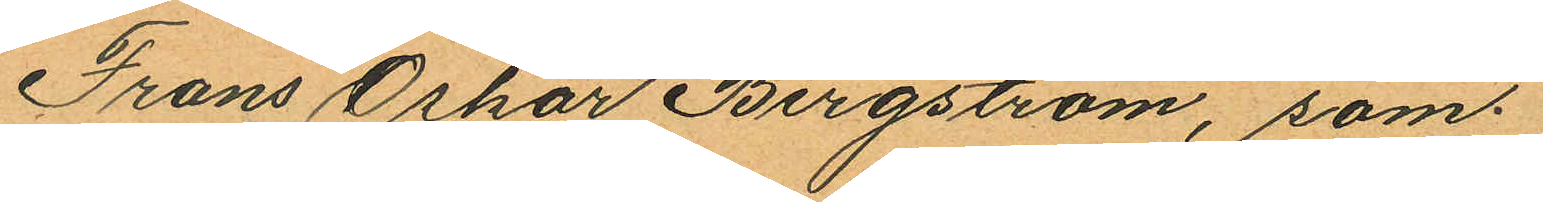Frans Oskar Bergström, som
